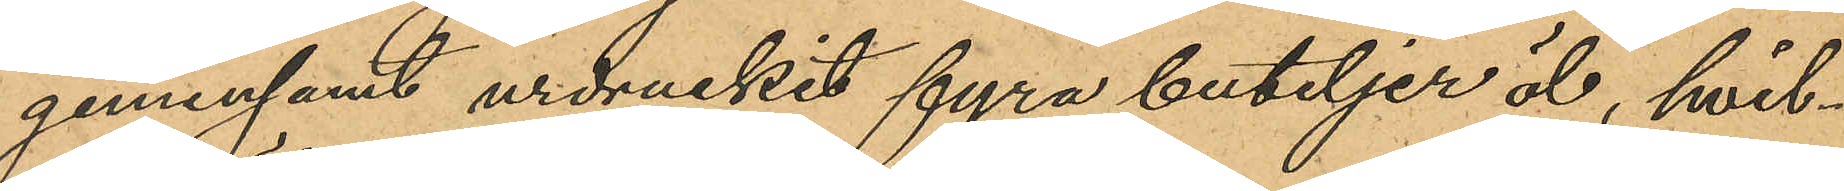gemensamt urdruckit fyra buteljer öl, hvil¬
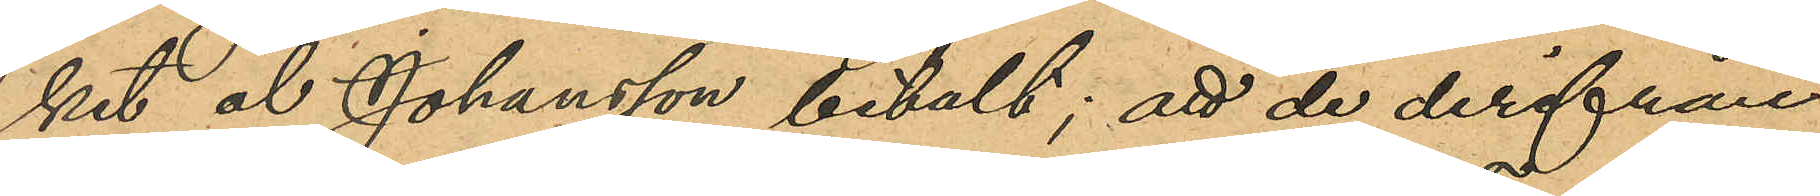het öl Johansson betalt; att de derifrån
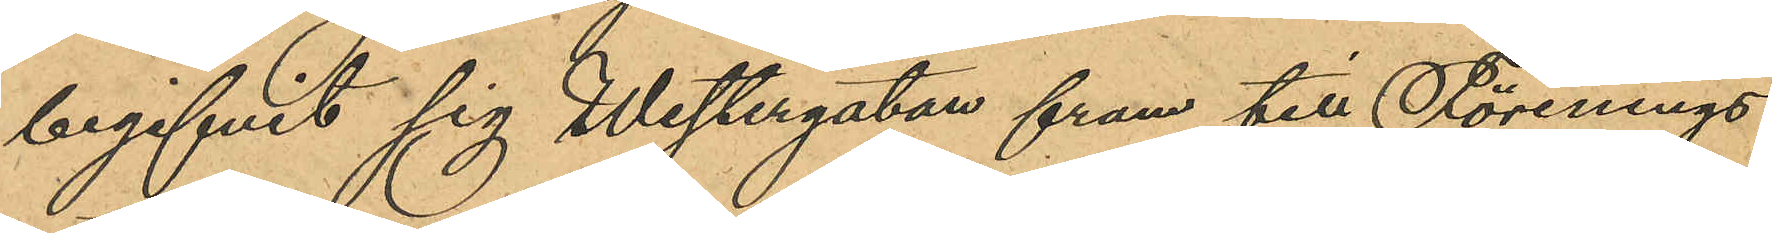begifvit sig Westergatan fram till Förenings¬
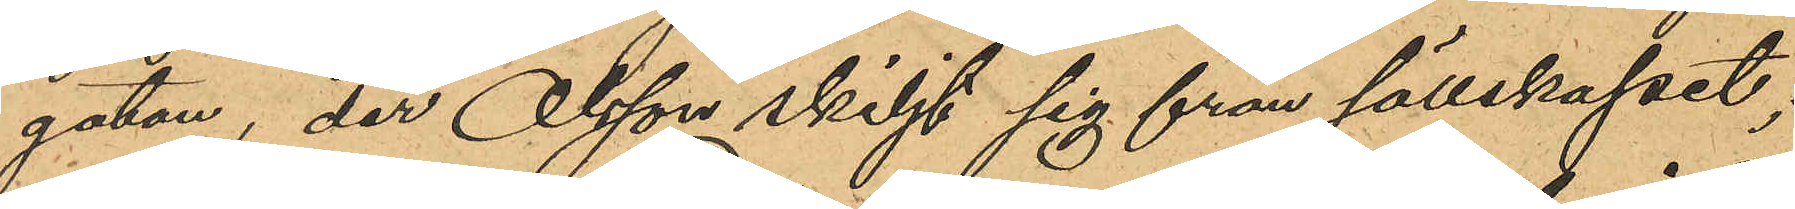gatan, der Olsson skiljt sig från sällskapet;
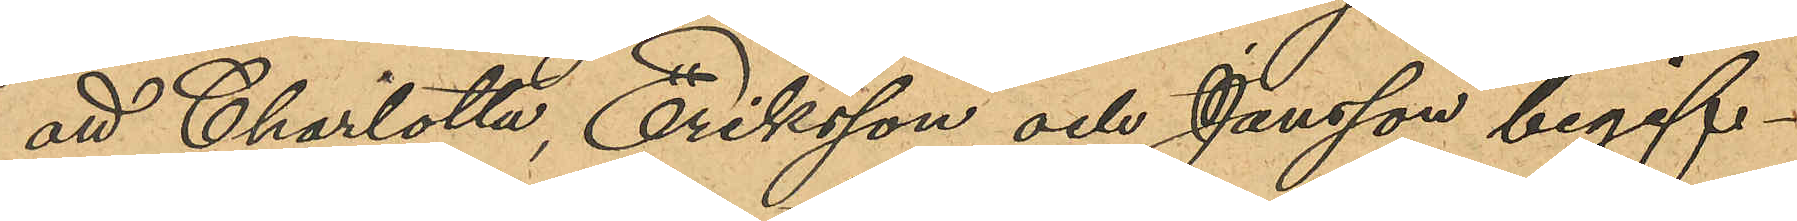att Charlotta, Eriksson och Jansson begif¬
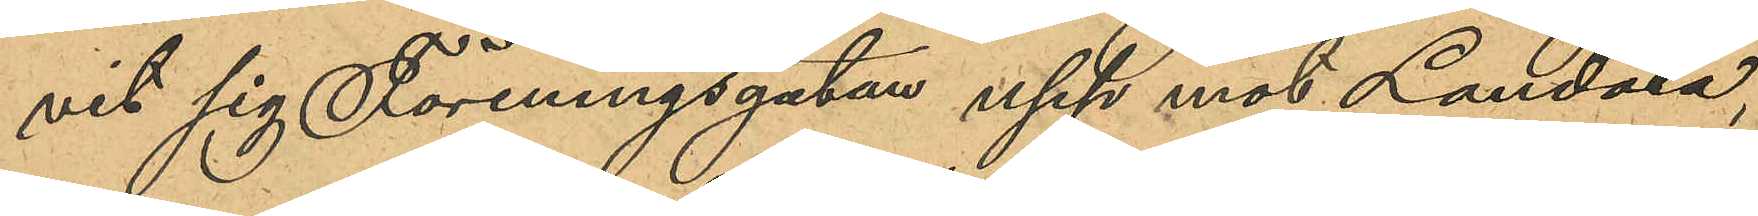vit sig Föreningsgatan upp mot Landala,
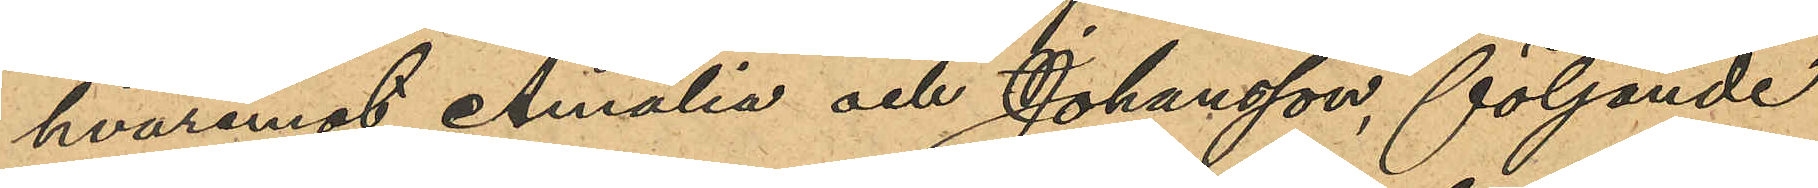hvaremot Amalia och Johansson, följande
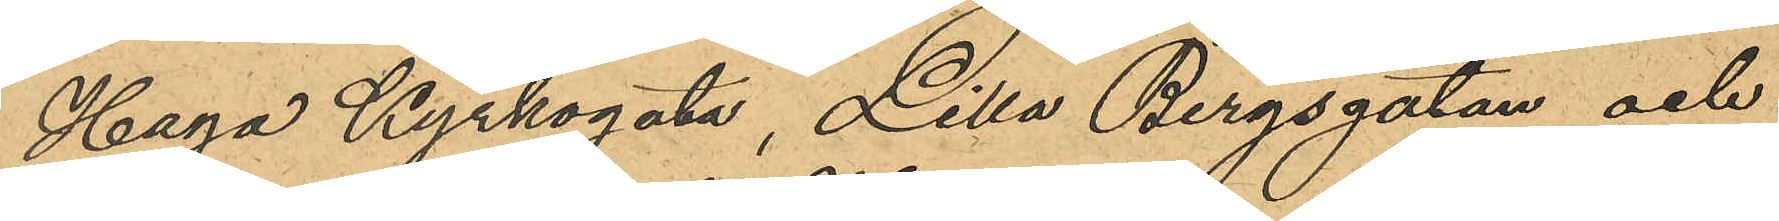Haga Kyrkogata, Lilla Bergsgatan och
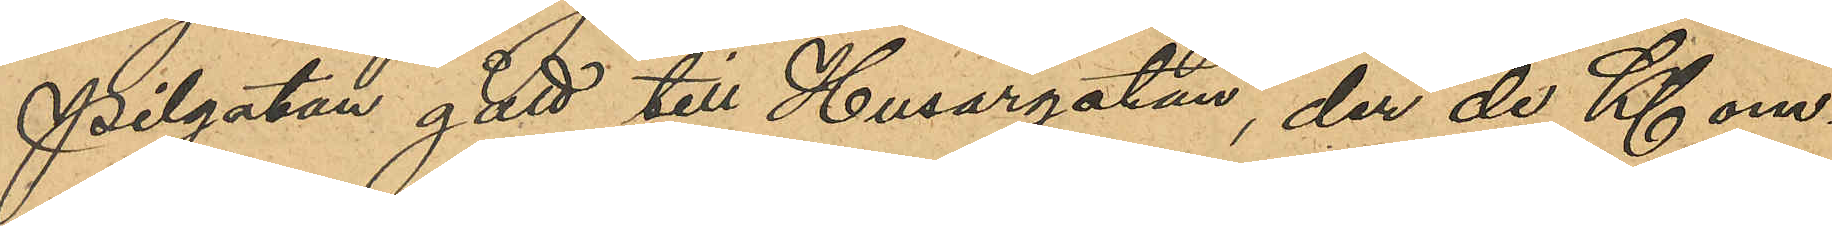Pilgatan gått till Husargatan, der de Kl om¬
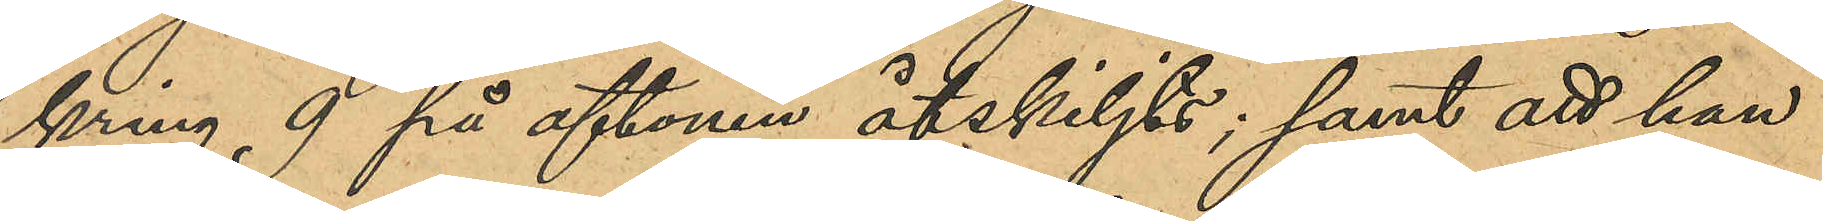kring, 9 på aftonen åtskiljts; samt att hon
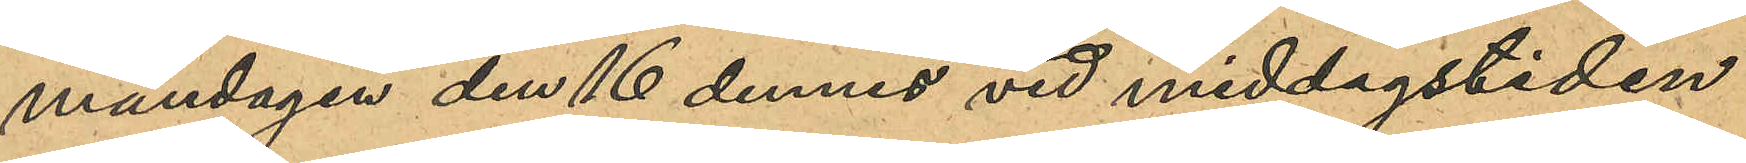måndagen den 16 dennes vid middagstiden
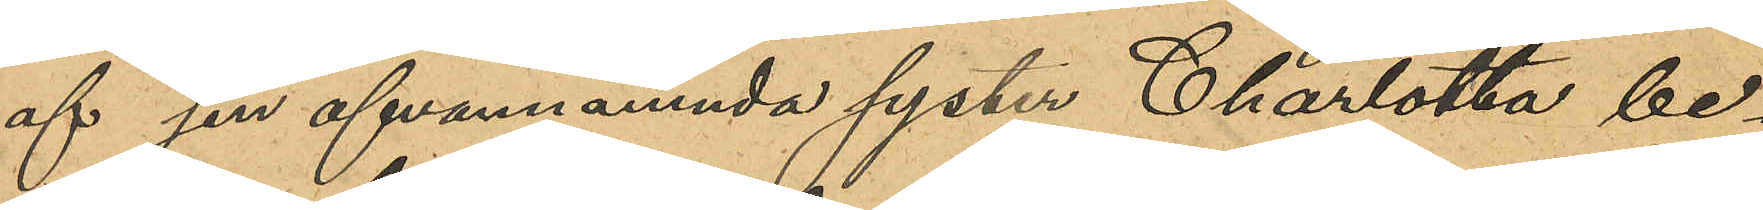af sin ofvannämnda syster Charlotta be¬
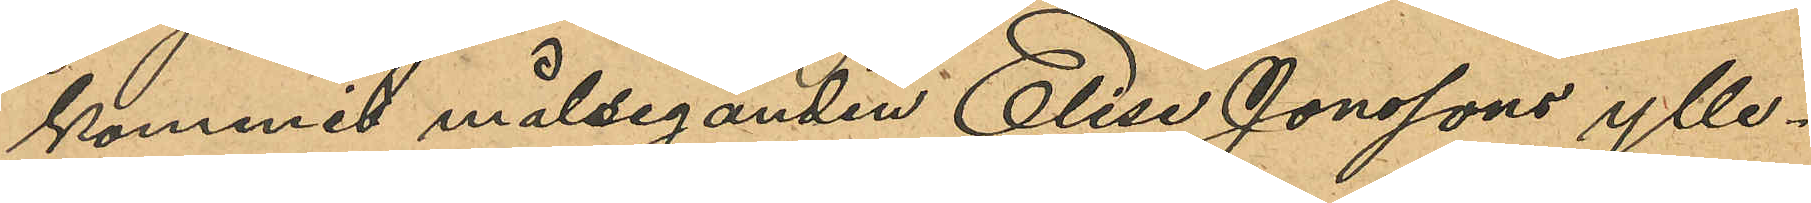kommit målseganden Elise Jonssons ylle¬
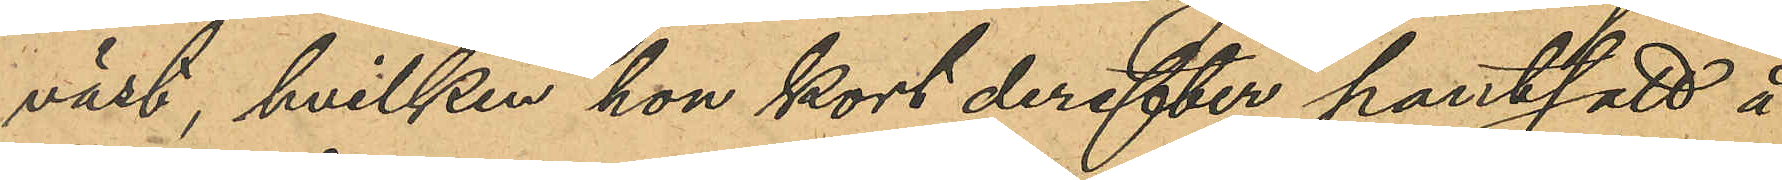väst, hvilken hon kort derefter pantsatt å
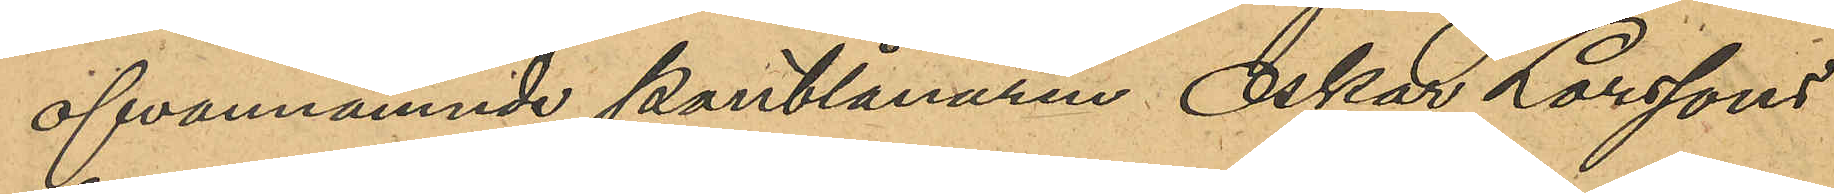ofvannämnde pantlånaren Oskar Larssons
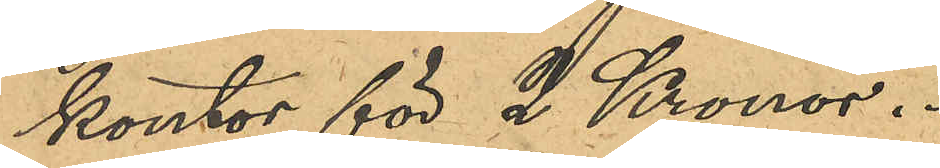kontor för 2 Kronor.
